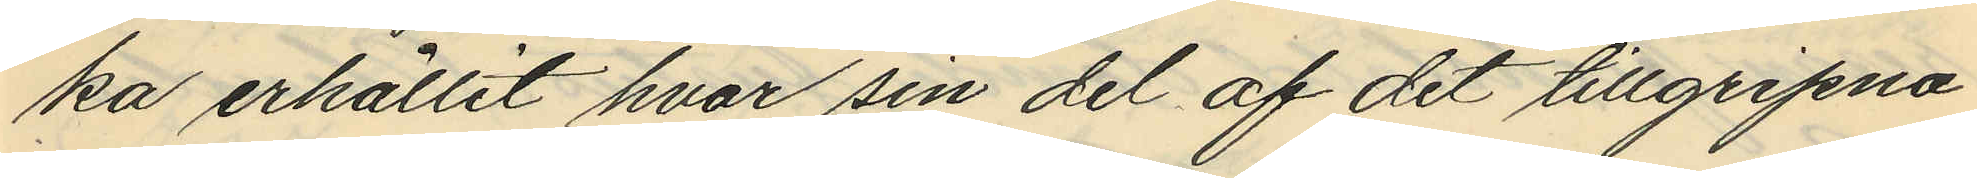ka erhållit hvar sin del af det tillgripna
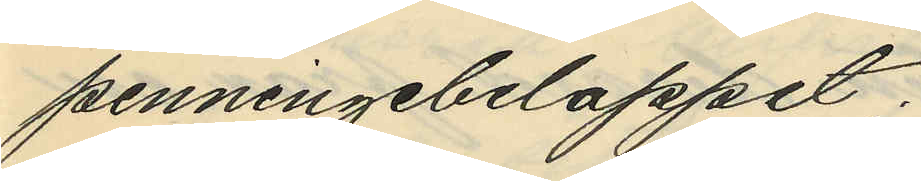penningebeloppet;
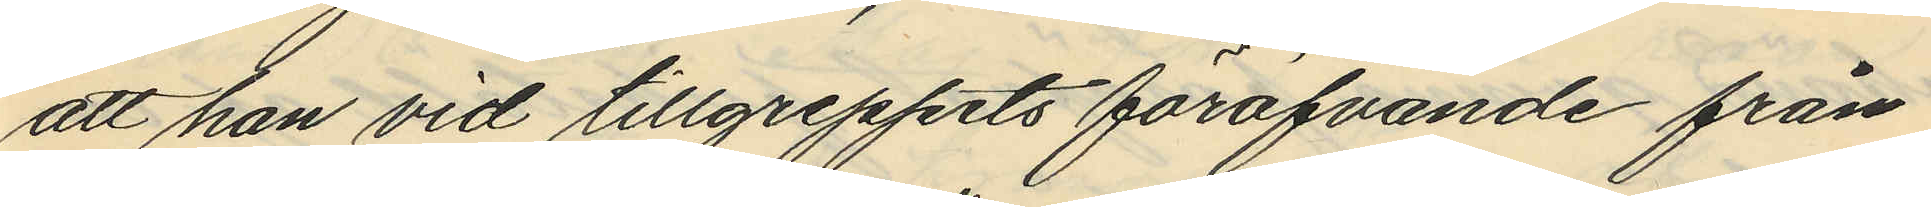att han vid tillgreppets föröfvande från
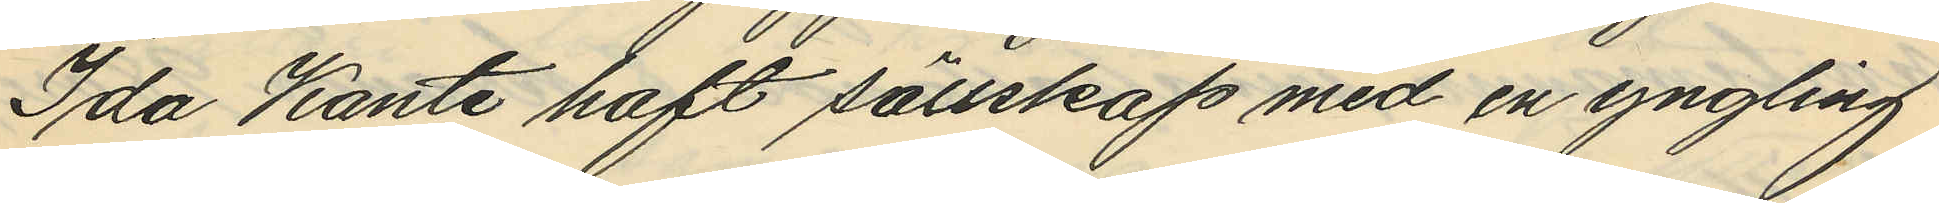Ida Kante haft sällskap med en yngling
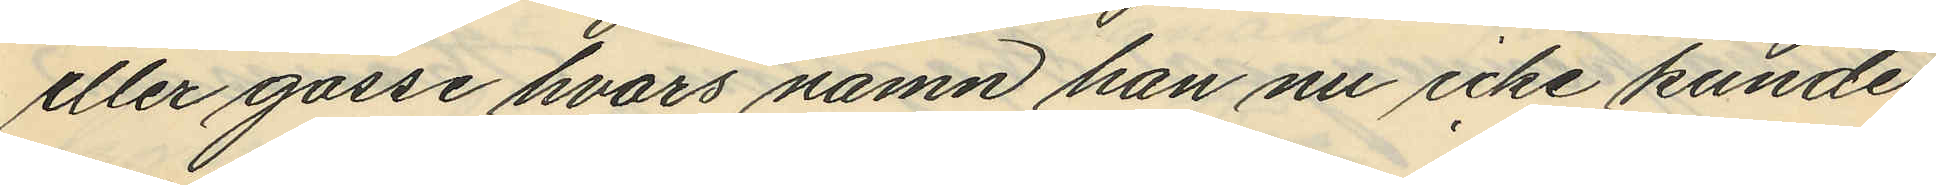eller gosse hvars namn han nu icke kunde
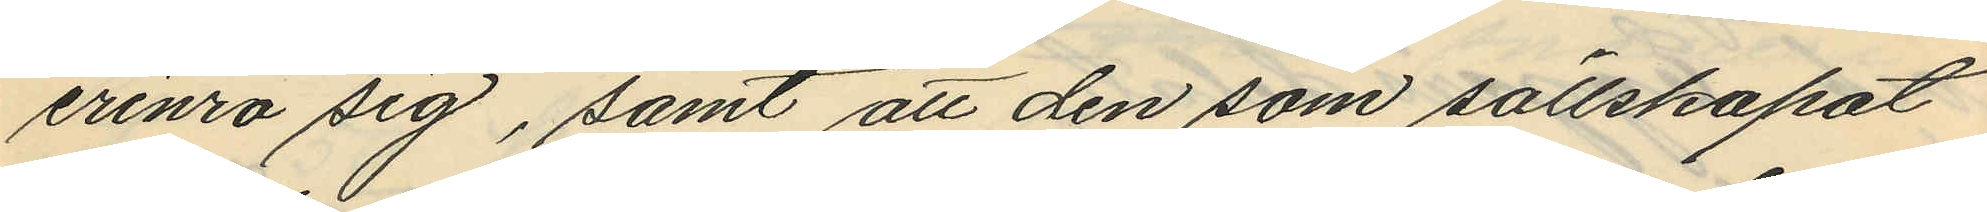erinra sig, samt att den som sällskapat
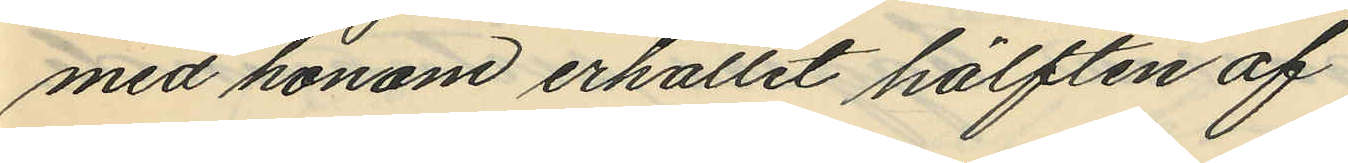med honom erhållit hälften af
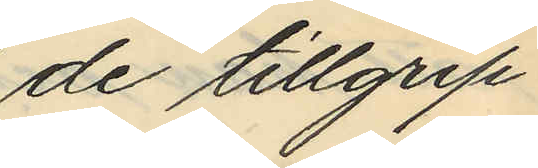de tillgrip
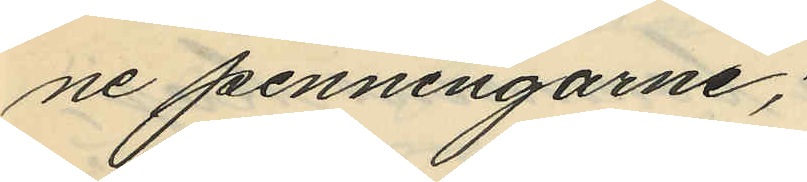ne penningarne;
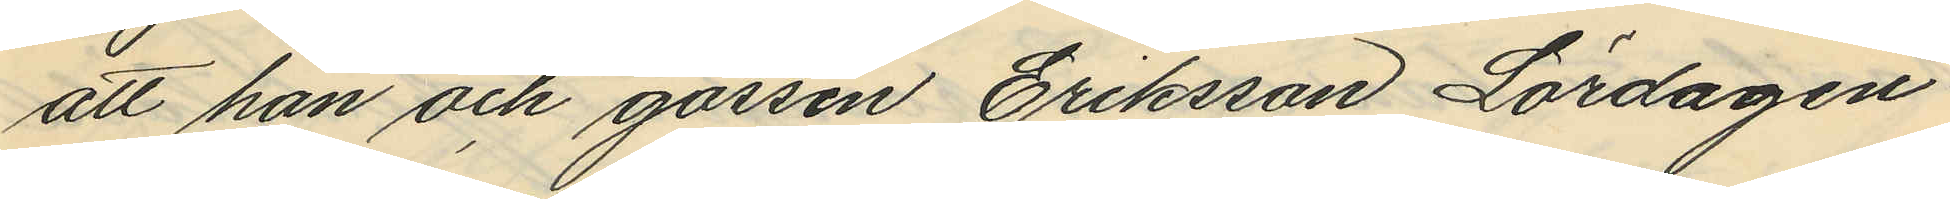att han och gossen Eriksson Lördagen
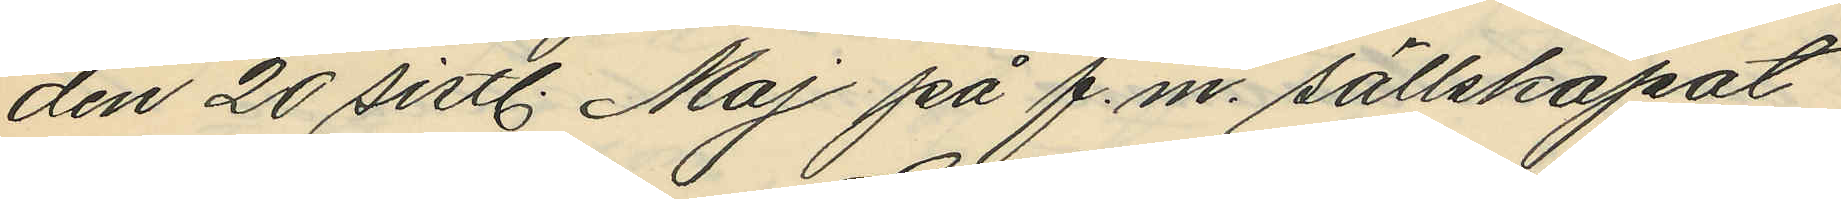den 20 sistl. Maj på f.m. sällskapat
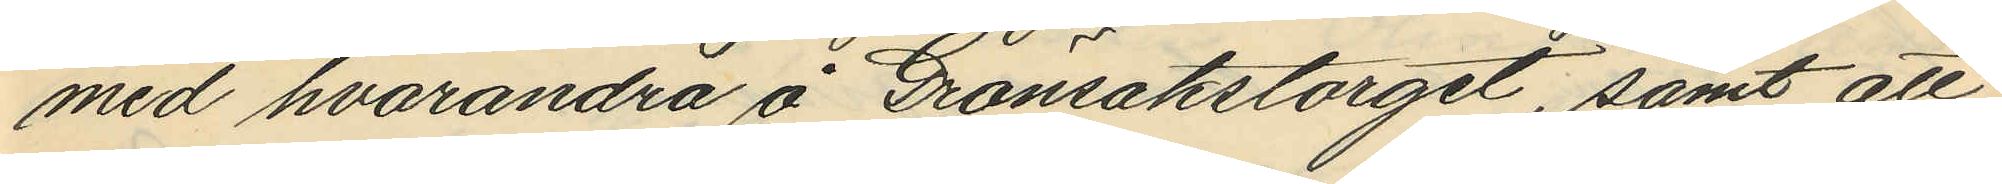med hvarandra å Grönsakstorget, samt att
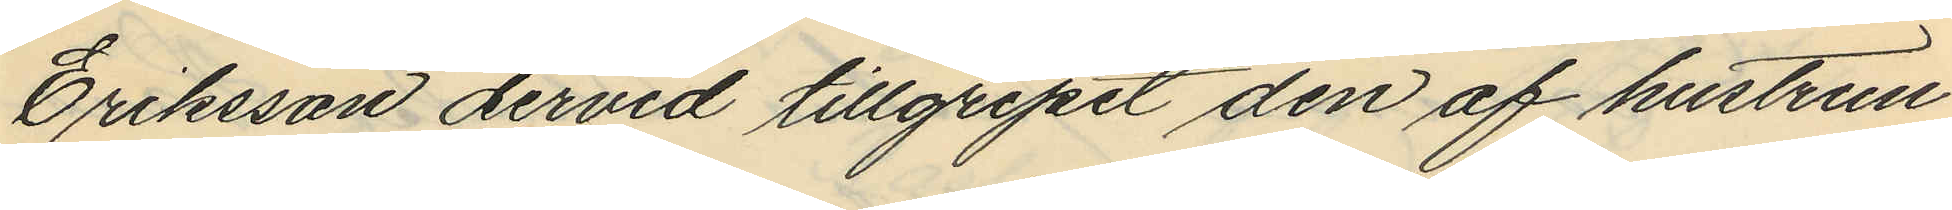Eriksson dervid tillgripit den af hustrun
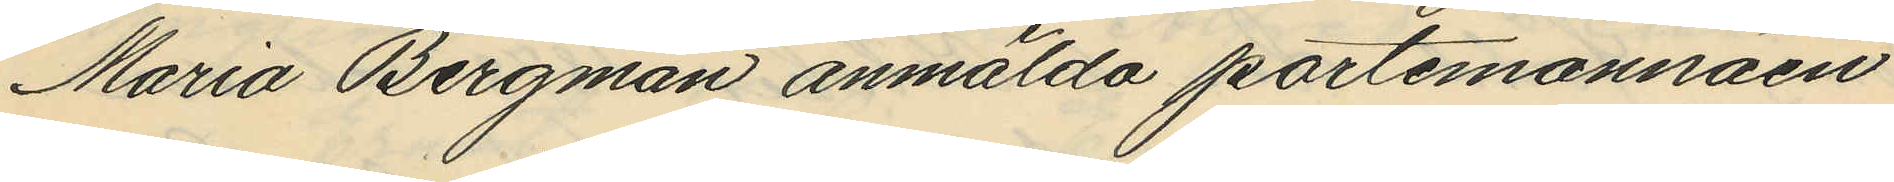Maria Bergman anmälda portemonnäen
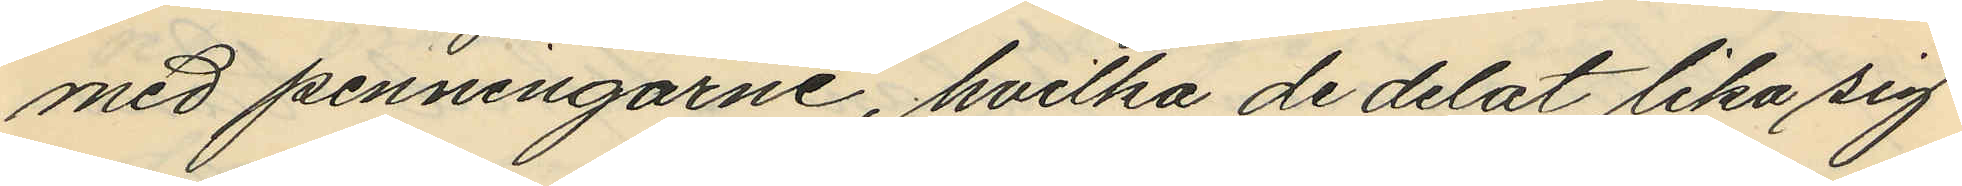med penningarne, hvilka de delat lika sig
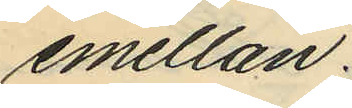emellan.
